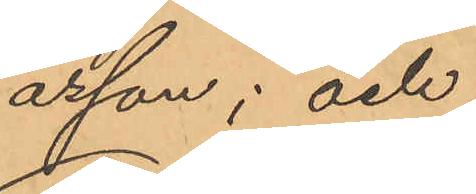asson; och
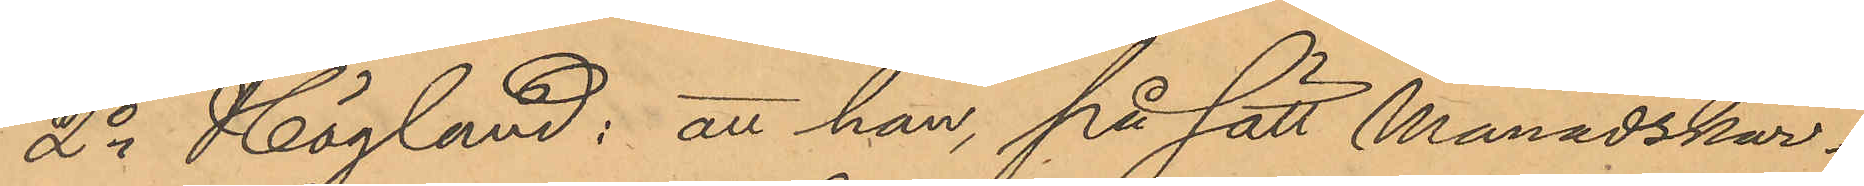2o Höglund: att han, på sätt Månadskar¬
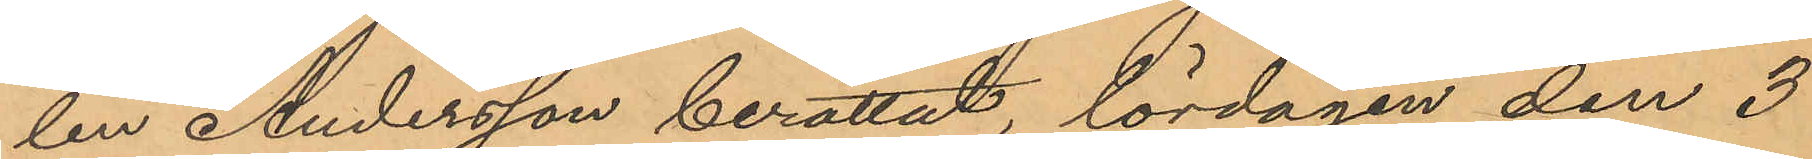len Andersson berättat, lördagen den 3
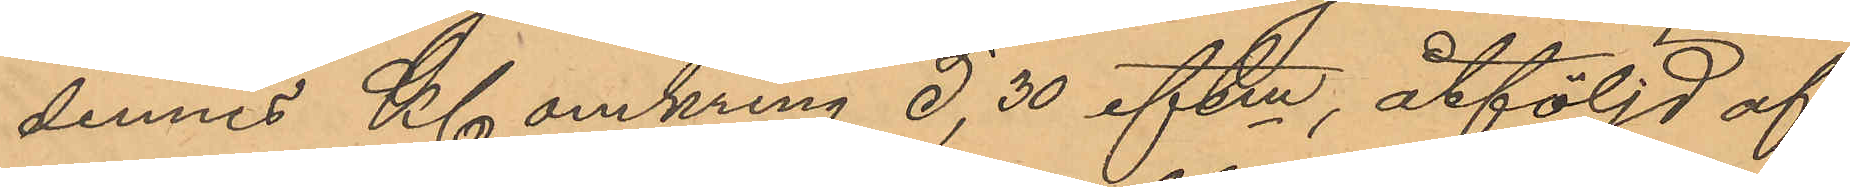dennes Kl omkring 5,30 eftm, åtföljd af
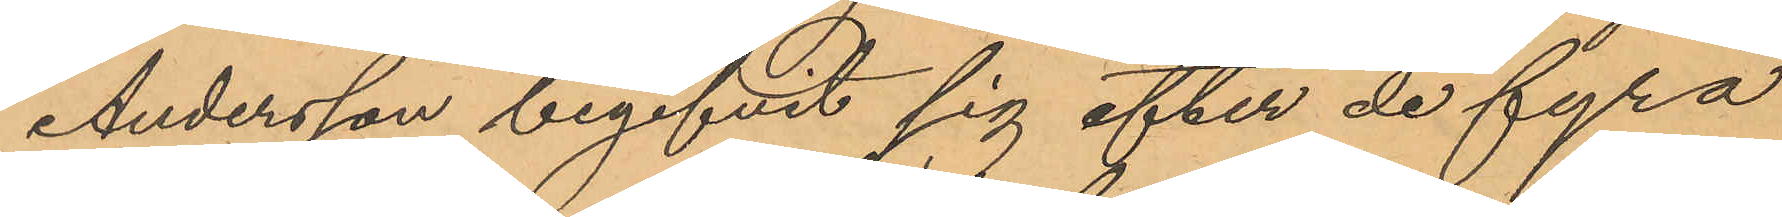Andersson begifvit sig efter de fyra
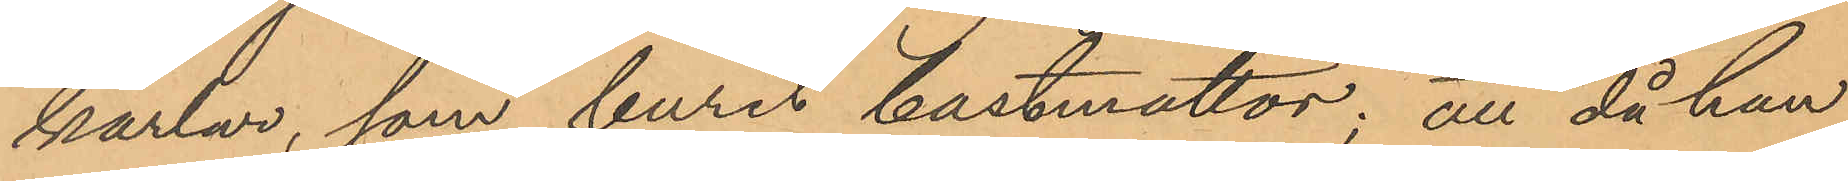karlar, som burit bastmattor; att då han
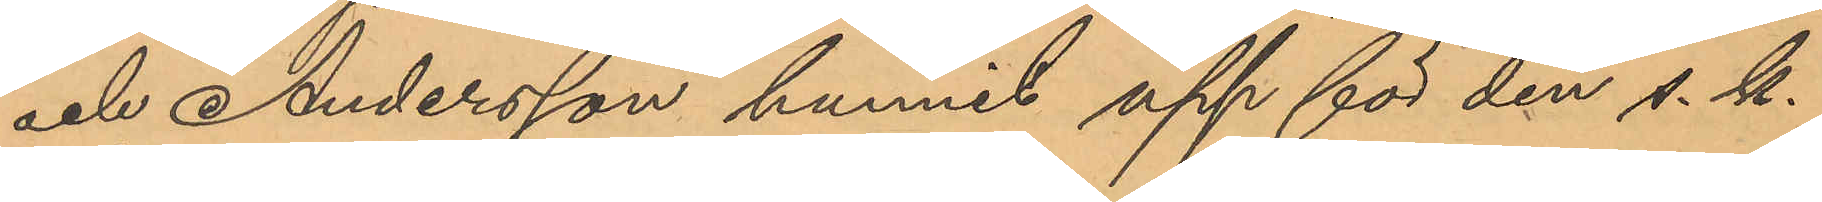och Andersson hunnit upp för den s. k.
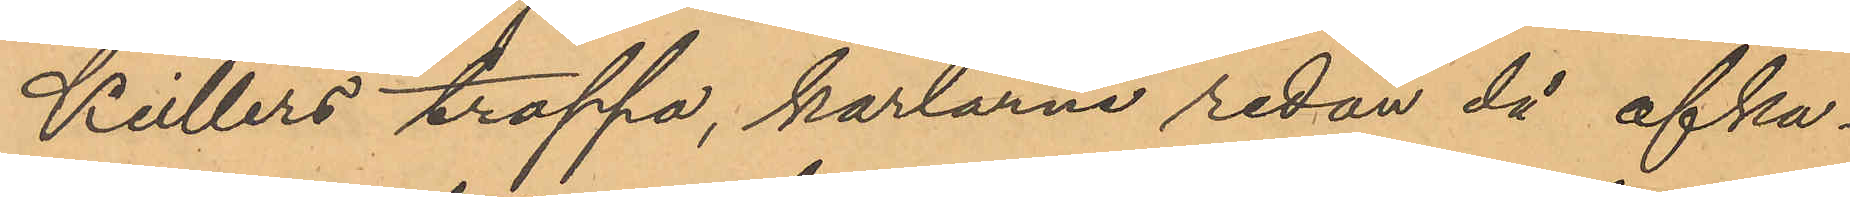Keillers trappa, karlarne redan då afka¬
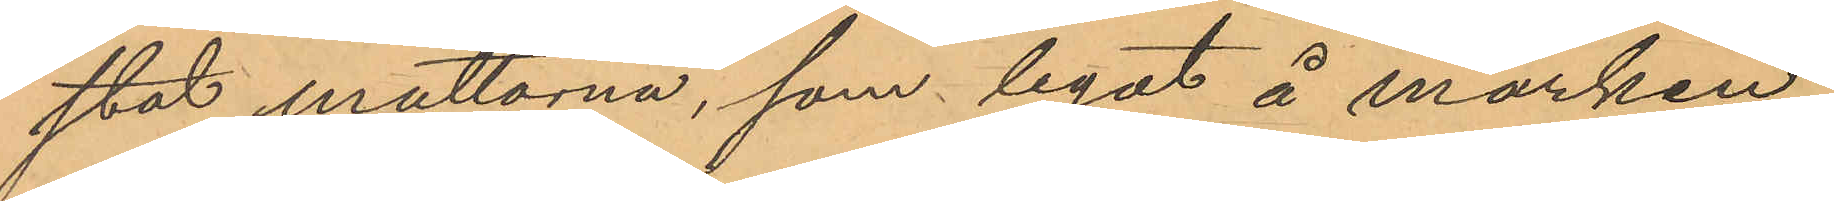stat mattorna, som legat å marken;
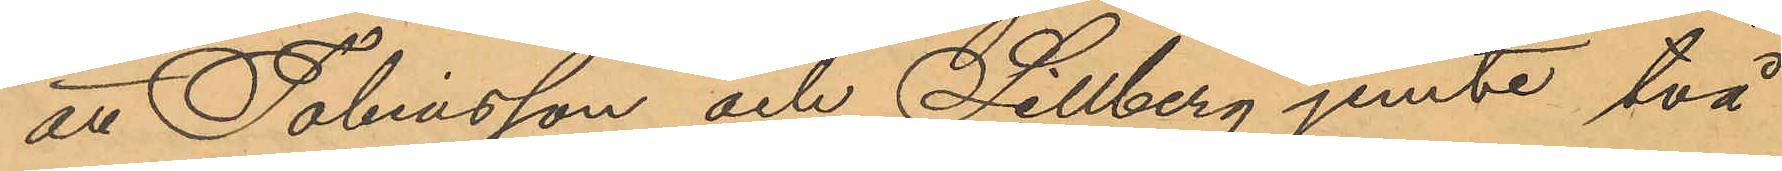att Tobiasson och Sillberg jemte två
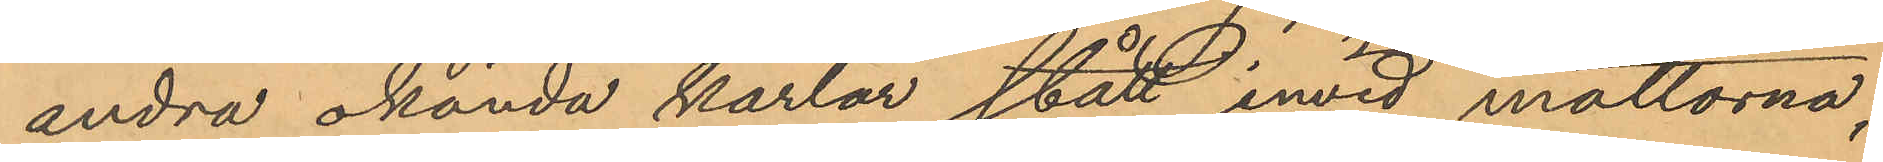andra okända karlar stått invid mattorna;
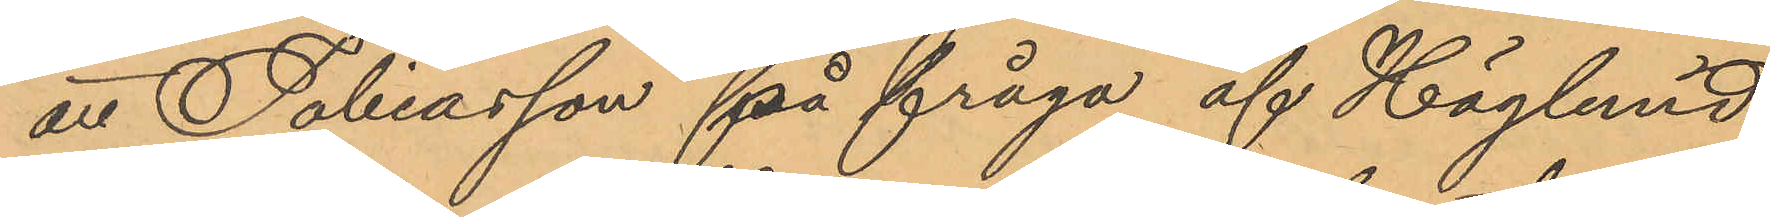att Tobiasson på fråga af Höglund,
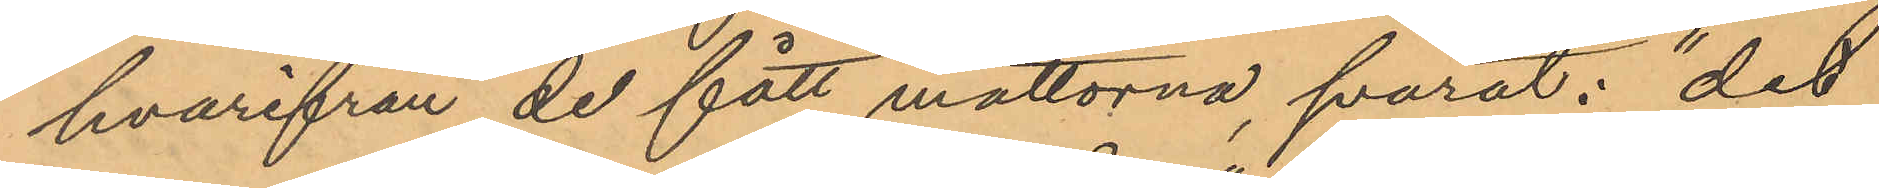hvarifrån de fått mattorna, svarat: "det
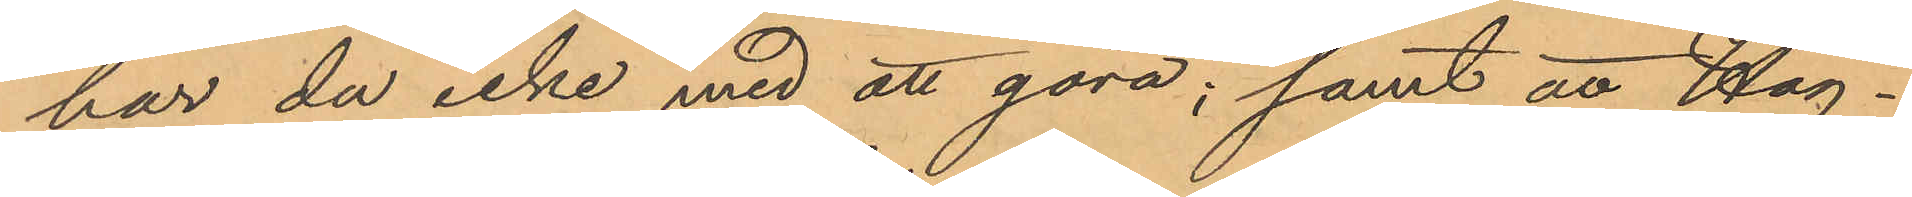har du icke med att göra"; samt att Hög¬
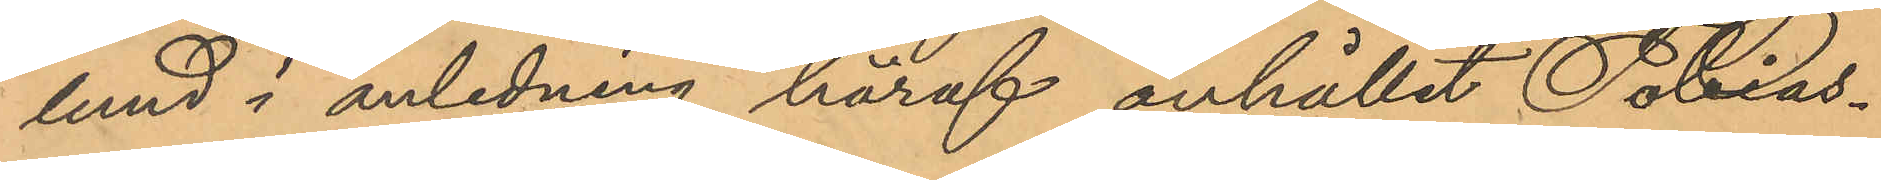lund i anledning häraf anhållit Tobias¬
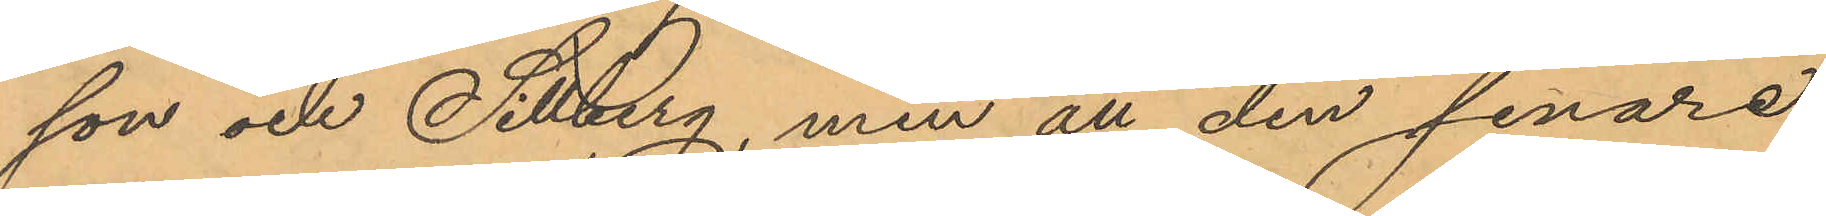son och Sillberg, men att den senare
